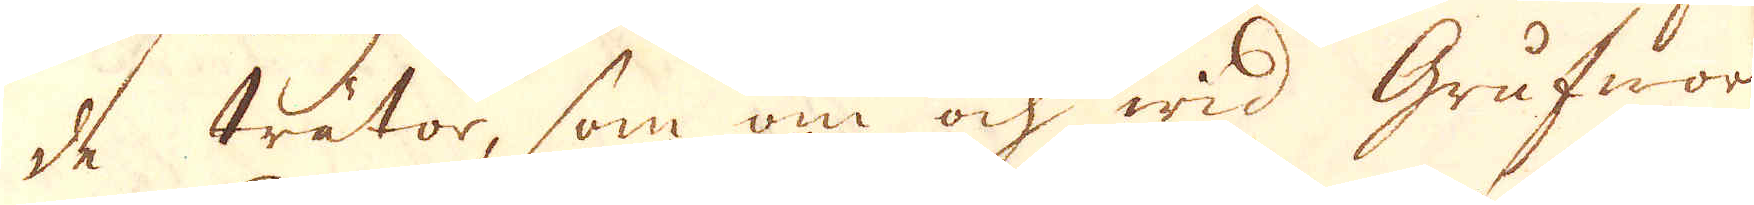de trätor, som om ock wid Grufwor
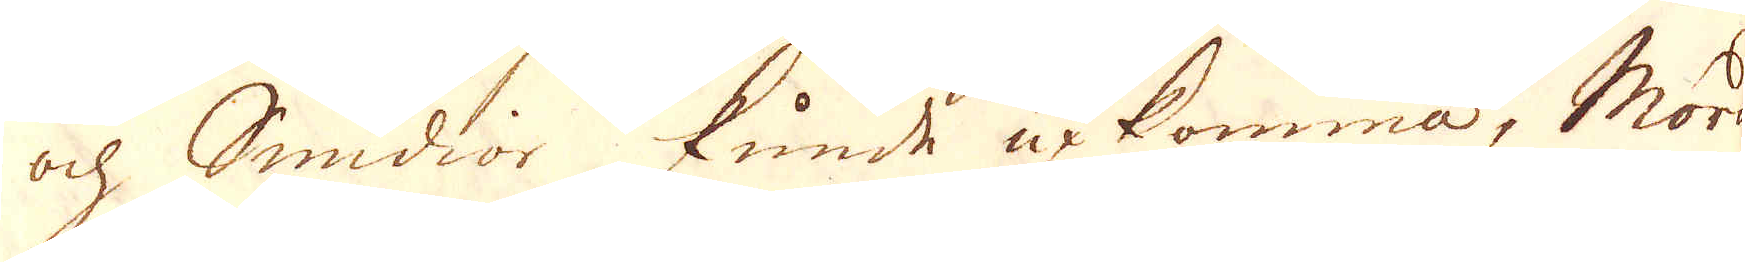ock Smidior kunde upkomma, Mord
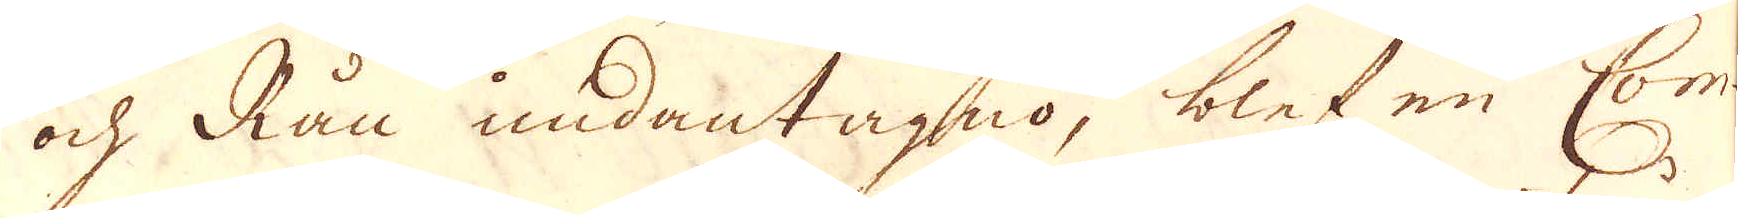och Rån undantagno, blef en Com-
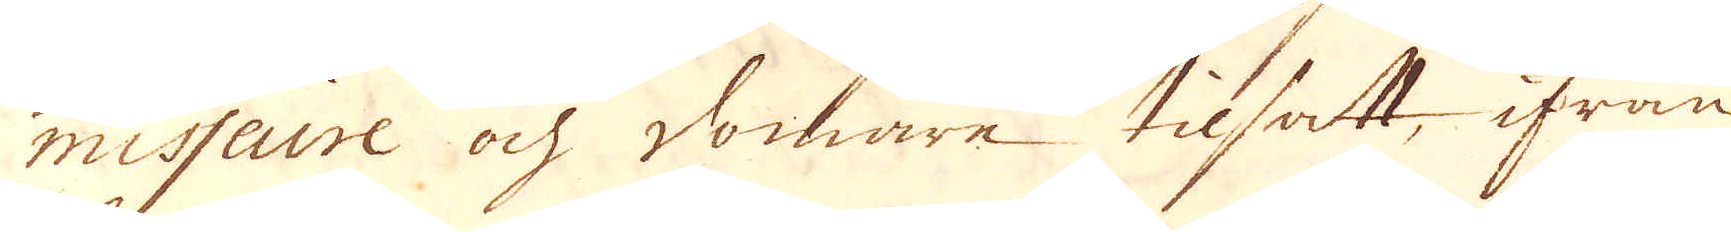misseure och Domare tilsatt, ifrån
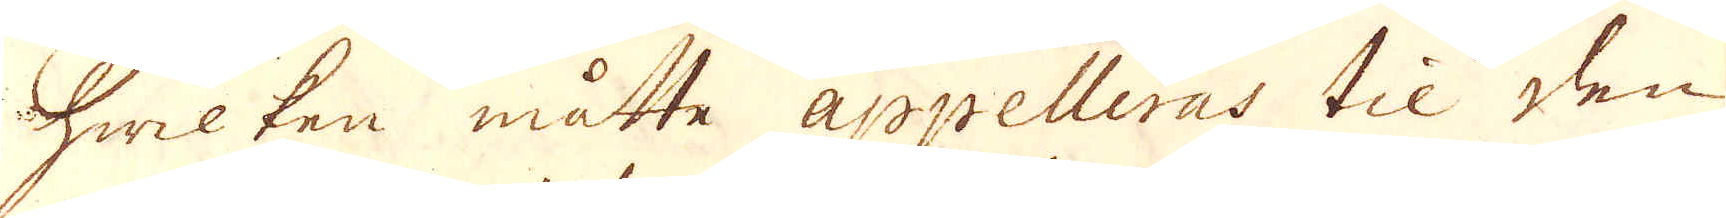hwilken måtte Appelleras til den
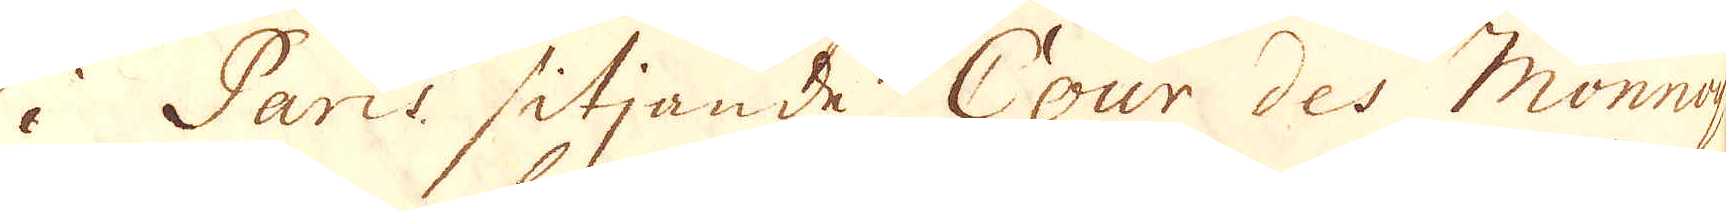i Paris sitjande Cour des Monnoye.
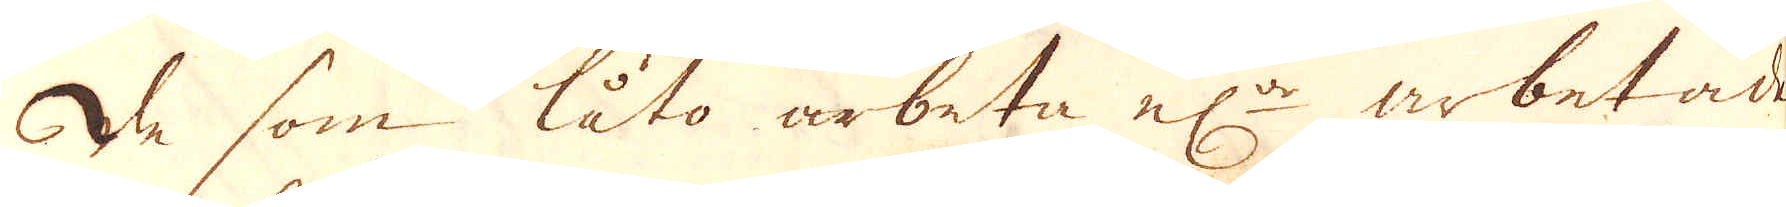De som låto arbeta el:r arbetade
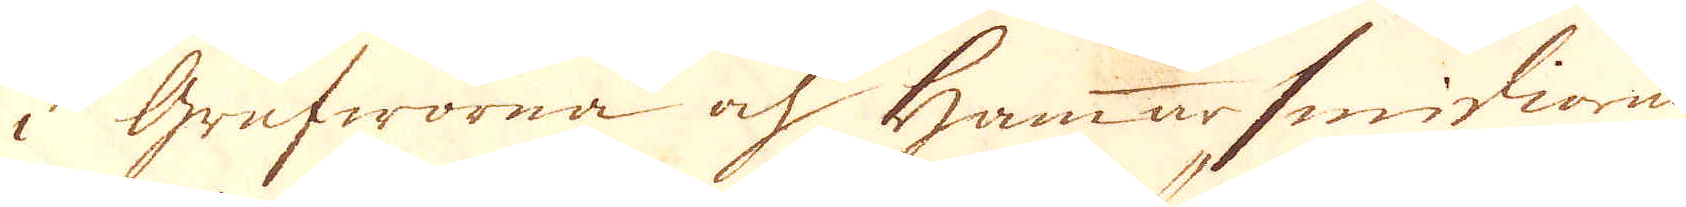i Grufworna ock hammarsmidiorna
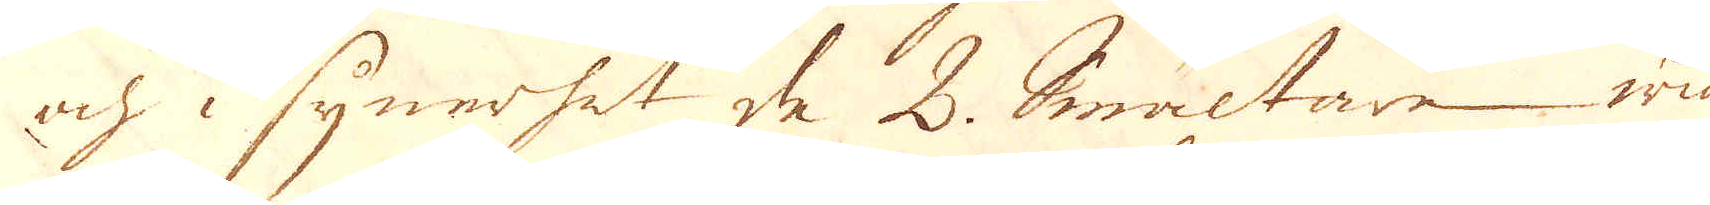och i synerhet de 2. Smältare wid
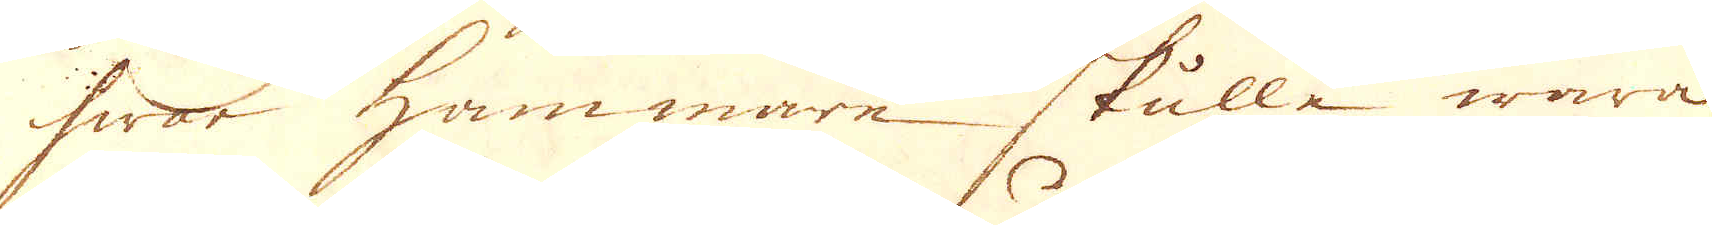hwar hammare skulle wara
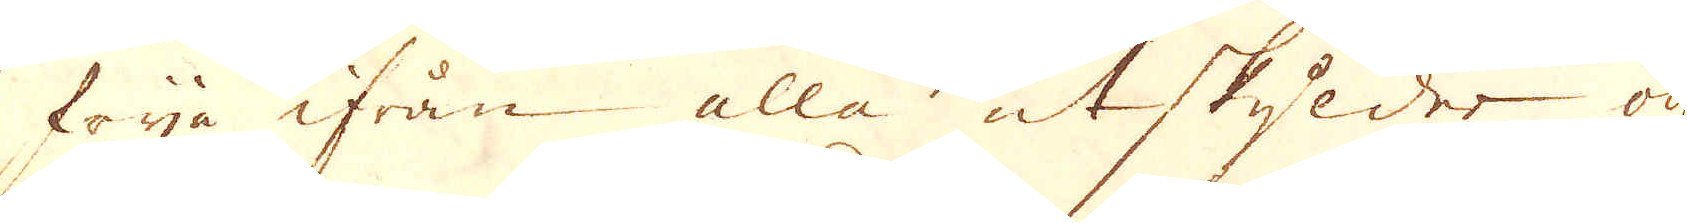frija ifrån alla utskylder och
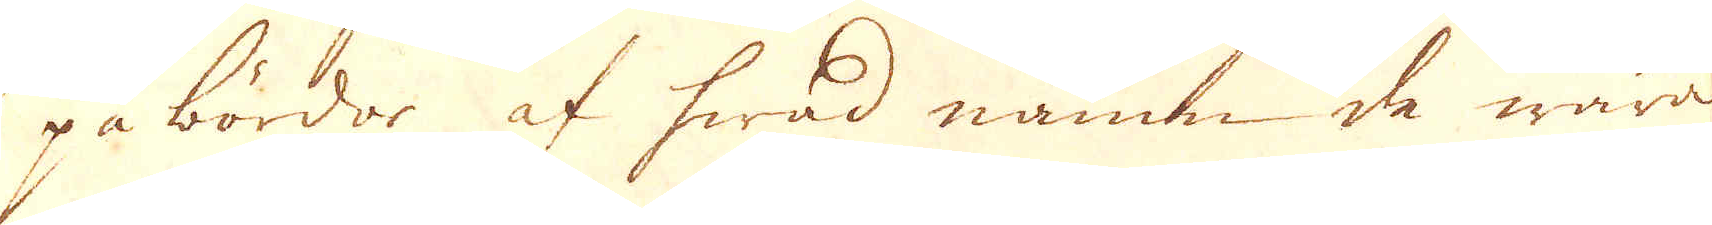på bördor af hwad namn de wara
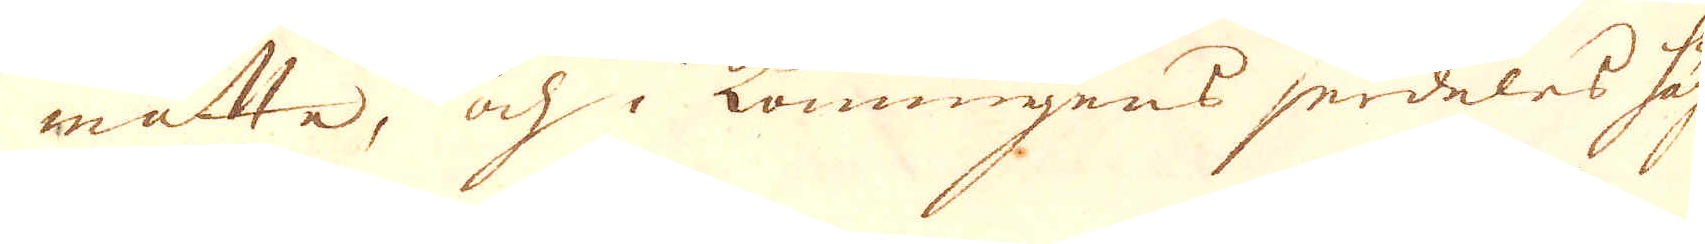måtte, ock konungens serdeles häg-
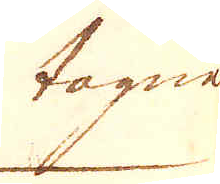tagne
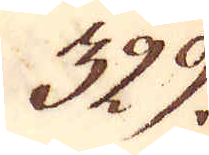329.
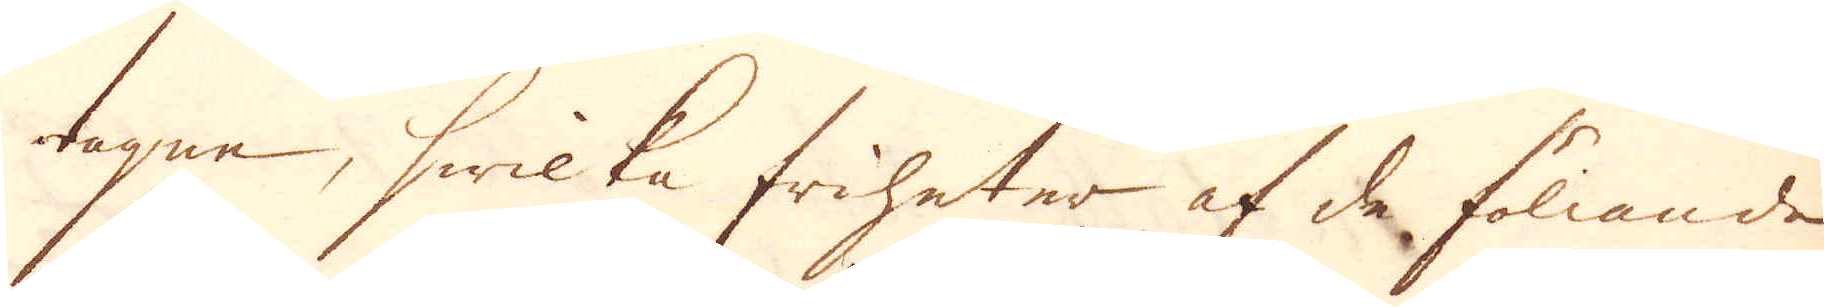tagne, hwilka friheter af de föllande
